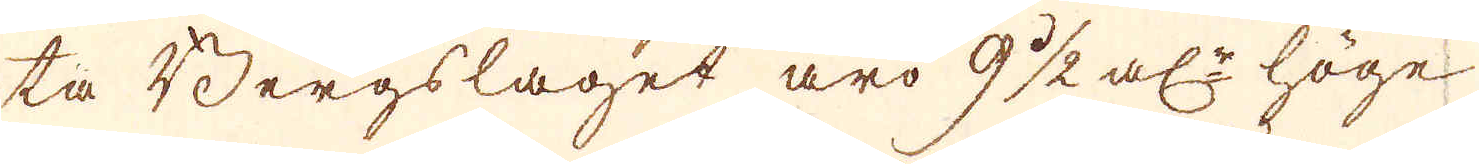ta Bergslaget äro 9 1/2 al:r höge
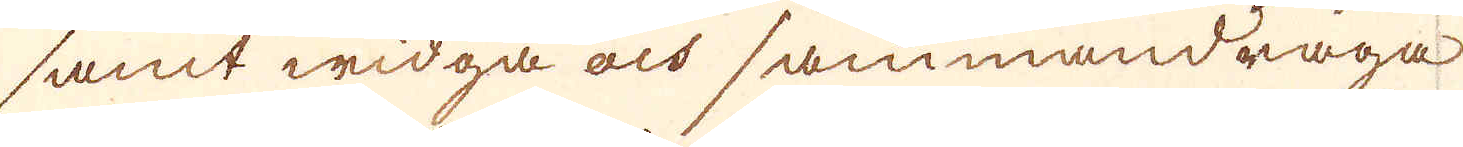samt widga och sammandraga
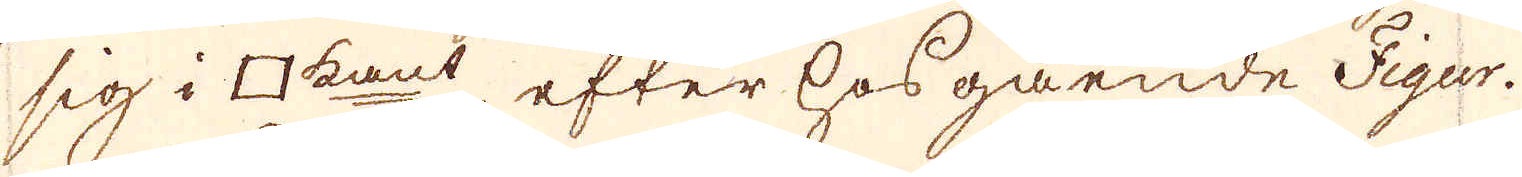sig i □ kant efter hosgående Figur.
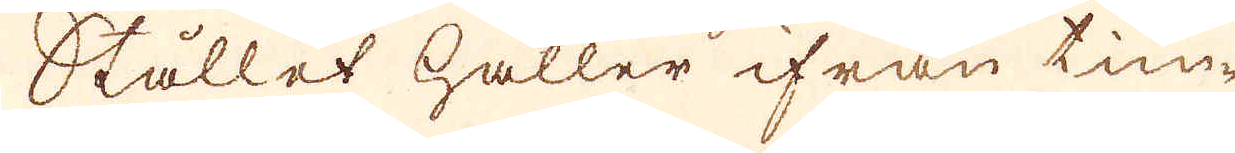Stållet håller ifrån tim-
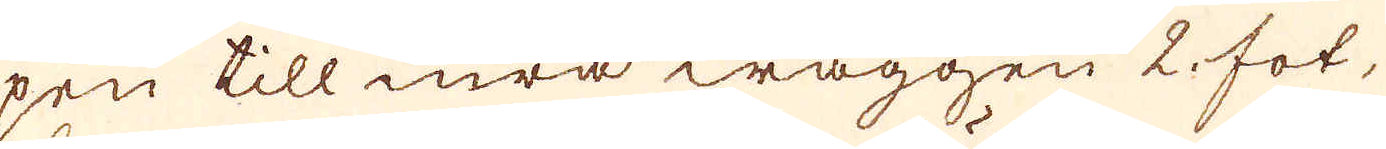pen till inra wäggen 2 fot,
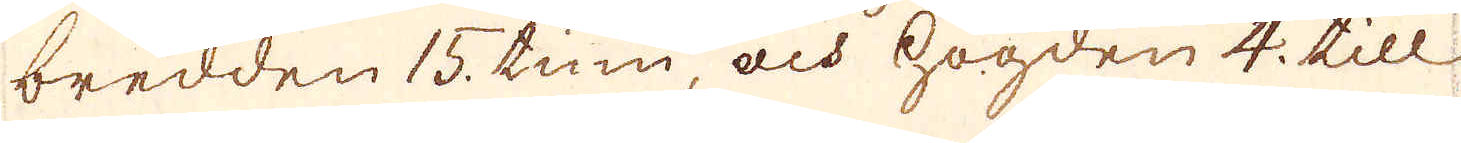bredden 15. tum, och högden 4. till
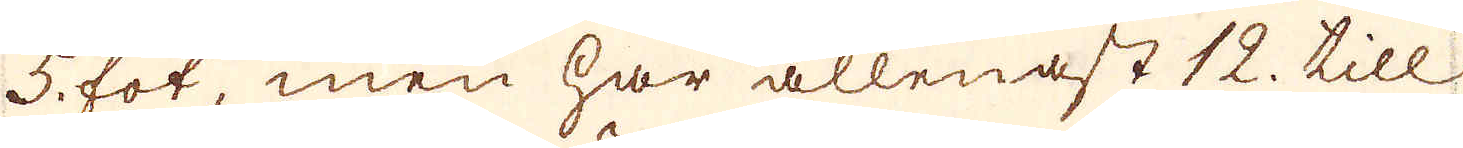5 fot, men har allenast 12. till
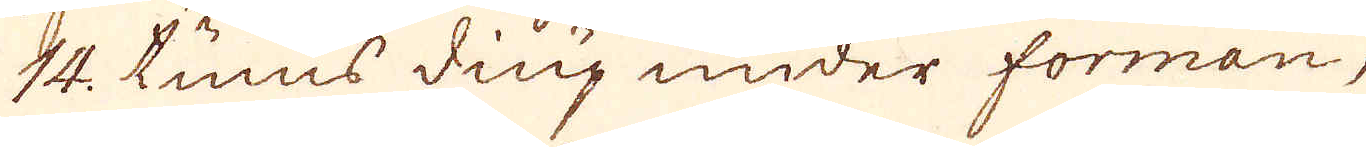14. tums diup under formen,
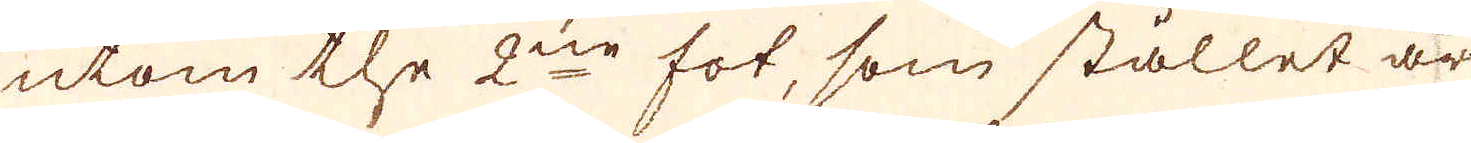utom the 2ne fot, som stället är
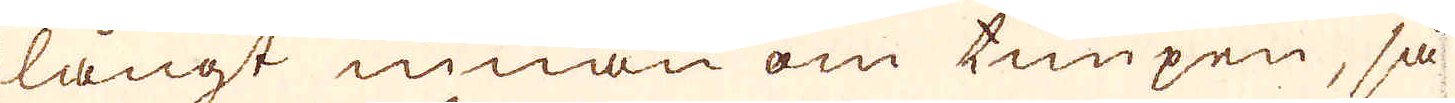långt innan om timpen, så
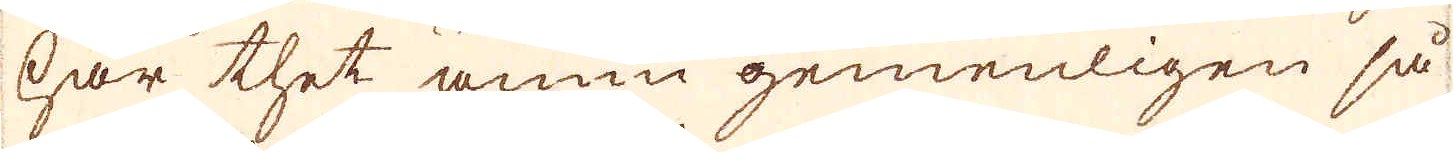har thet ännu gemenligen så
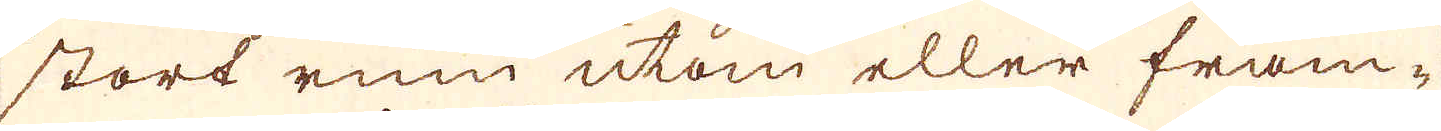stort rum utom eller fram-
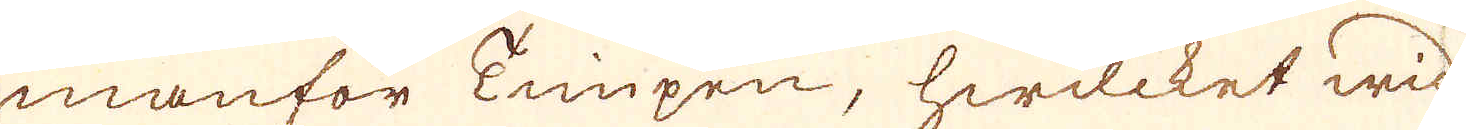manför Timpen, hwilcket wid
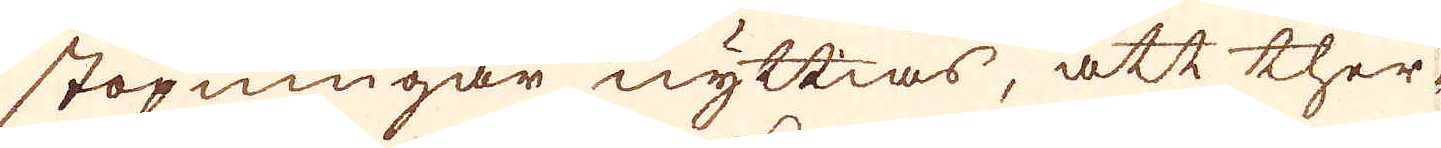stöpningar nyttias, att ther-
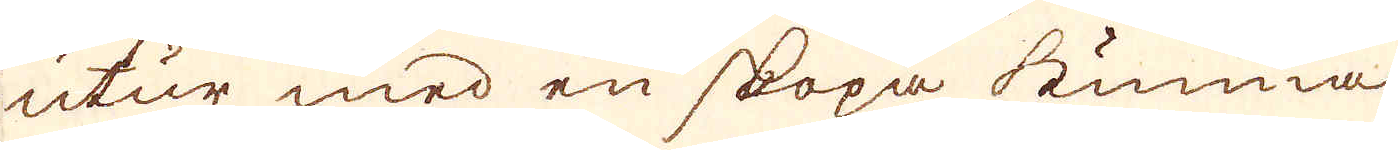utur med en skopa kunna
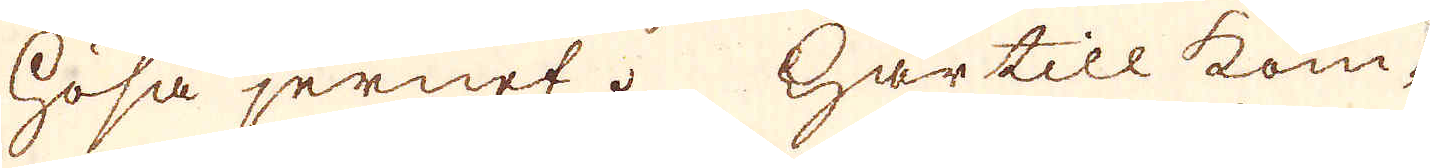hösa jernet. Här till kom-
